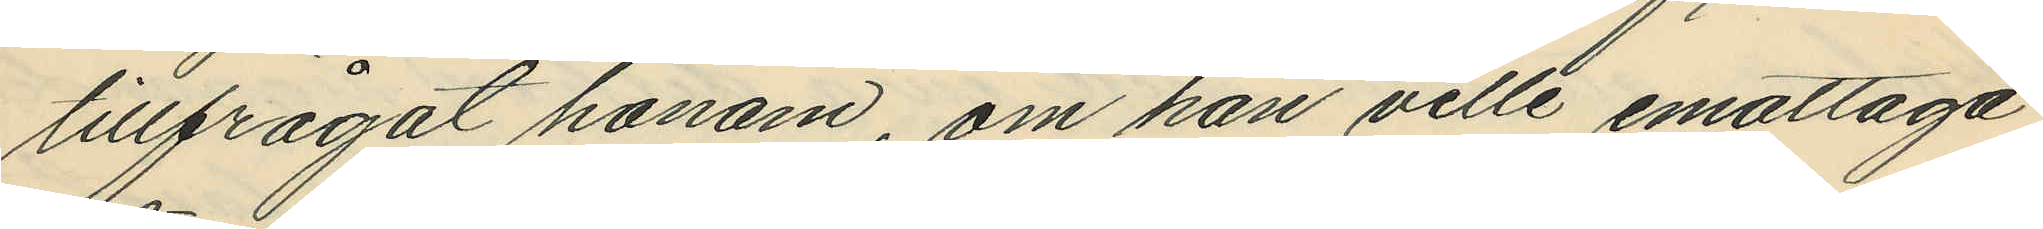tillfrågat honom, om han ville emottaga
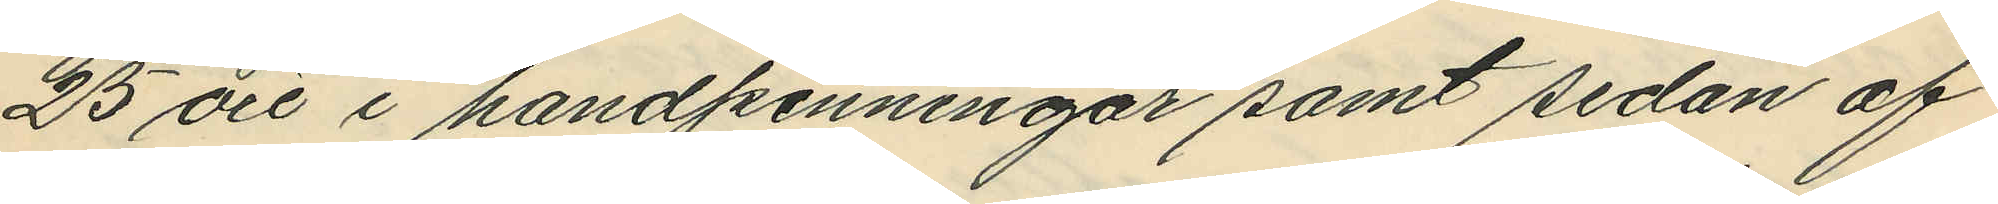25 öre i handpenningar samt sedan af
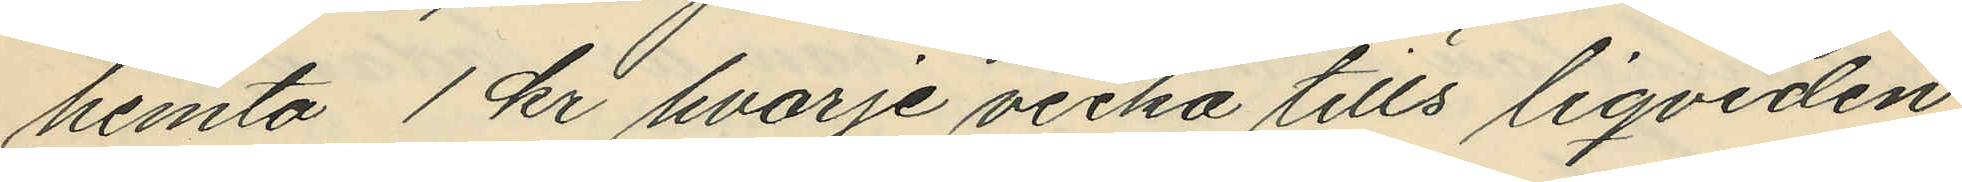hemta 1 kr hvarje vecka tills liqviden
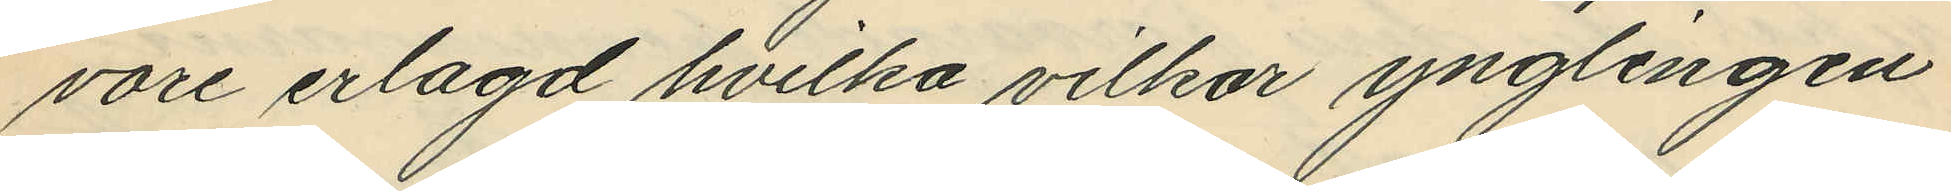vore erlagd hvilka vilkor ynglingen
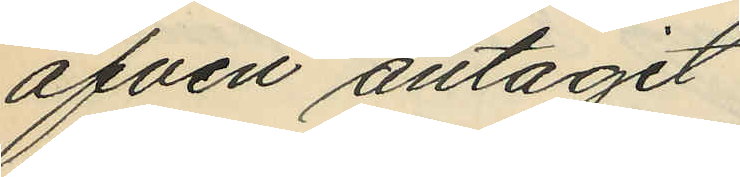äfven antagit
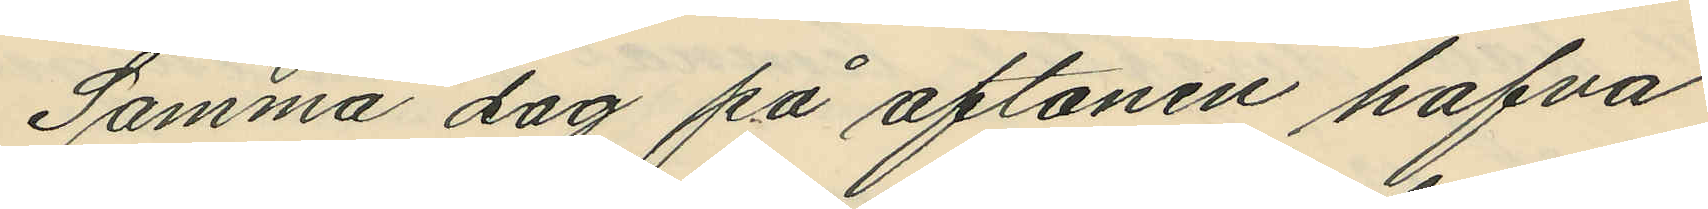Samma dag på aftonen hafva
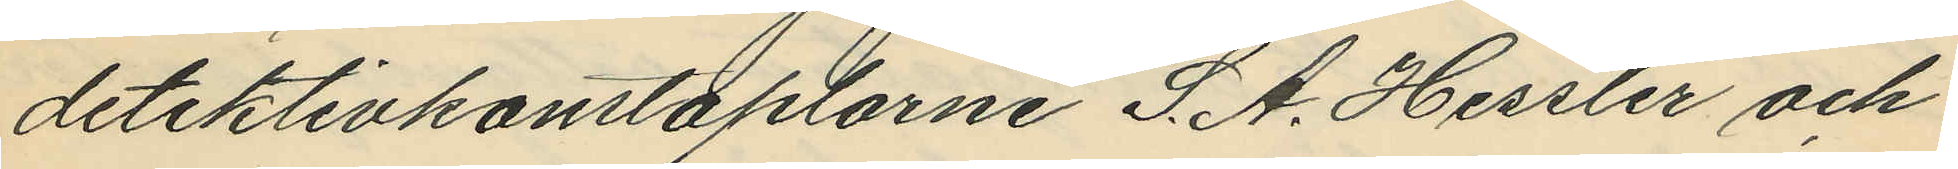detektivkonstaplarne S. A. Hessler och
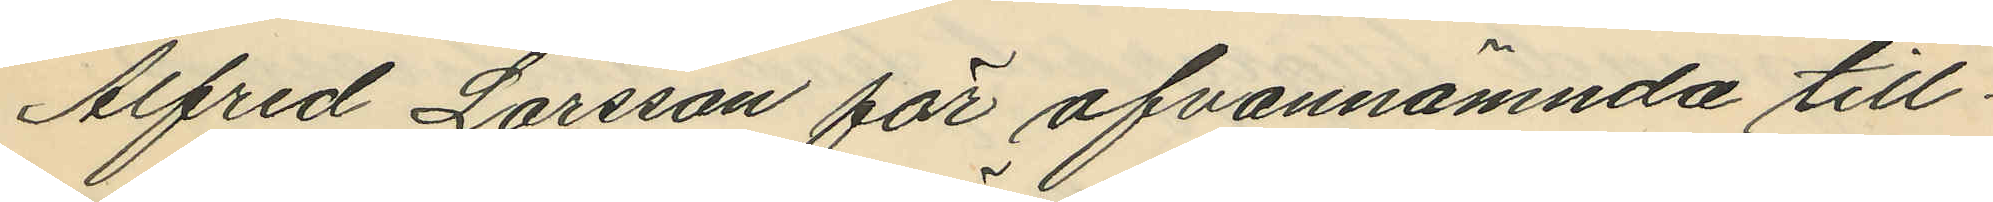Alfred Larsson för ofvannämnda till¬
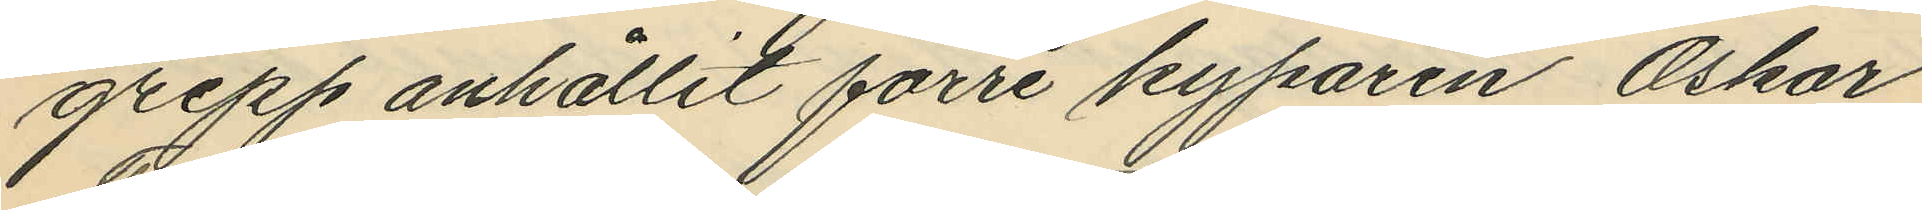grepp anhållit förre kyparen Oskar
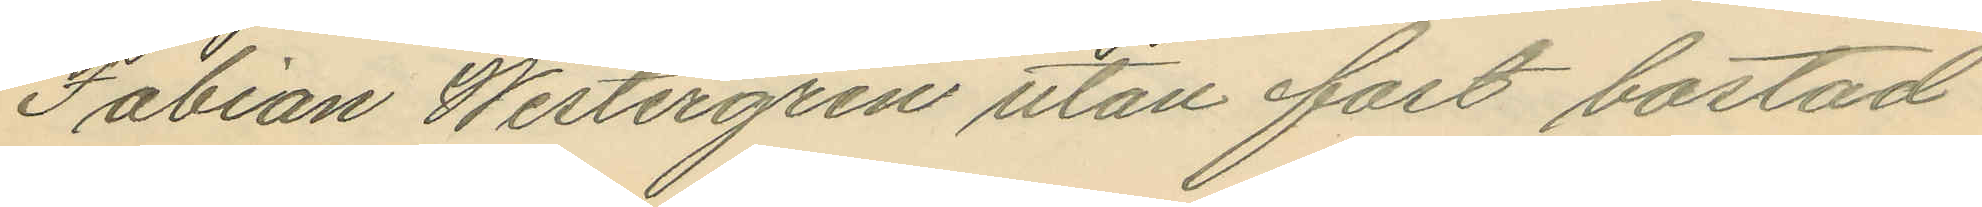Fabian Westergren utan fast bostad
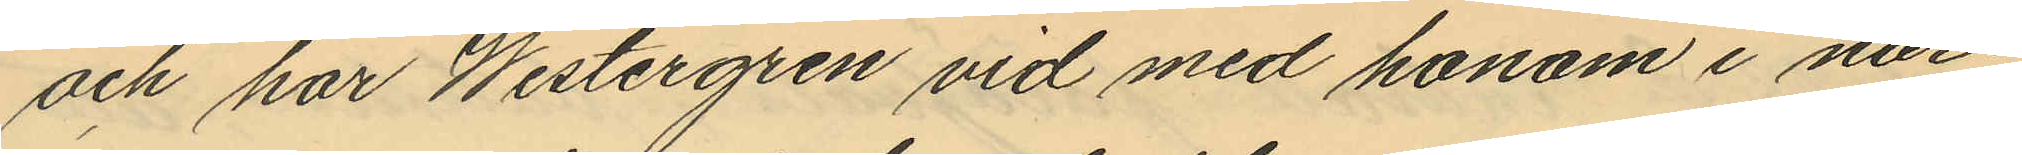och har Westergren vid med honom i när¬
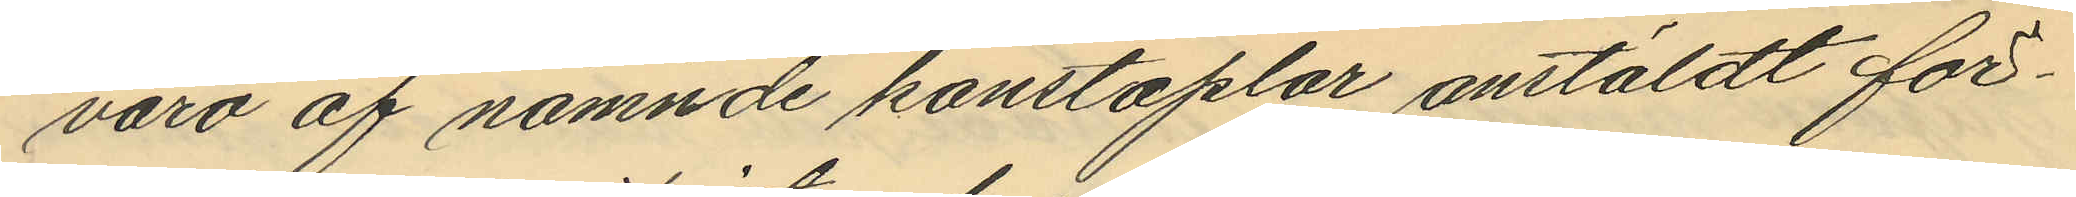varo af nämnde konstaplar anstäldt för¬
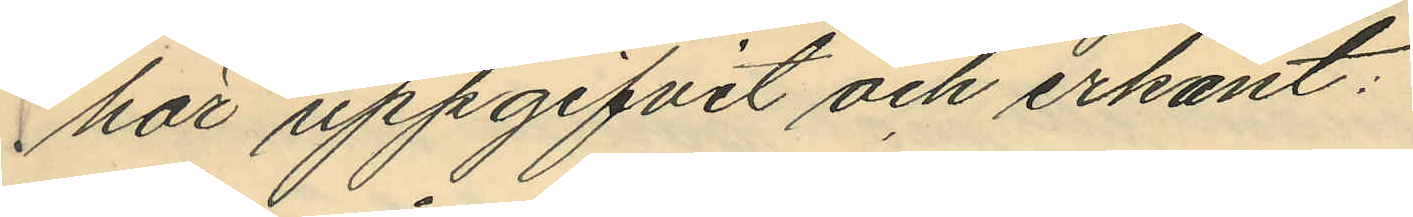hör uppgifvit och erkänt:
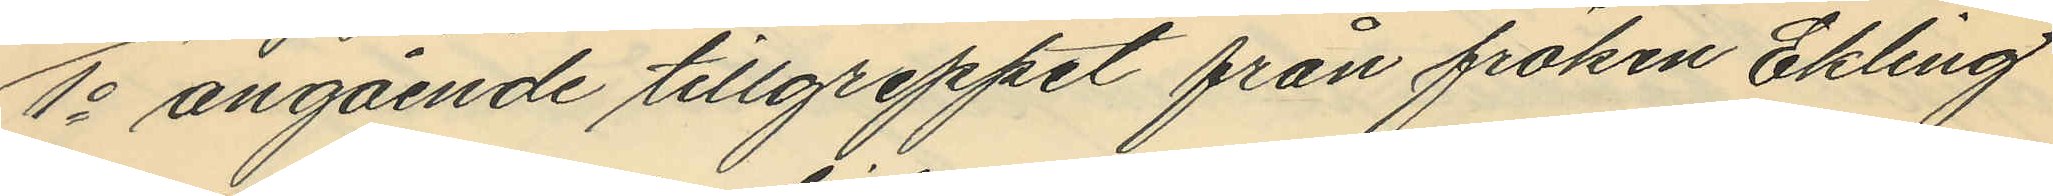1o angående tillgreppet från fröken Ekling
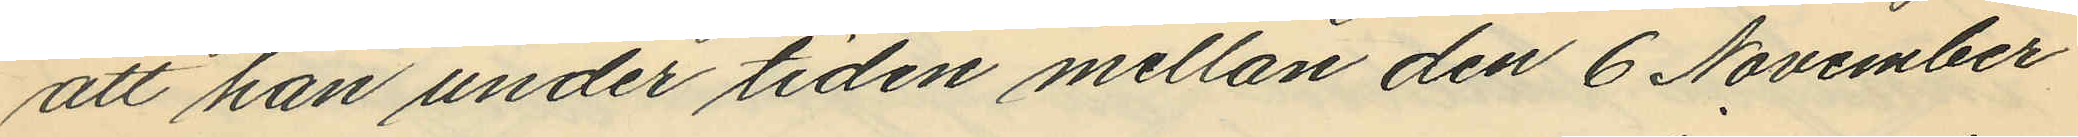att han under tiden mellan den 6 November
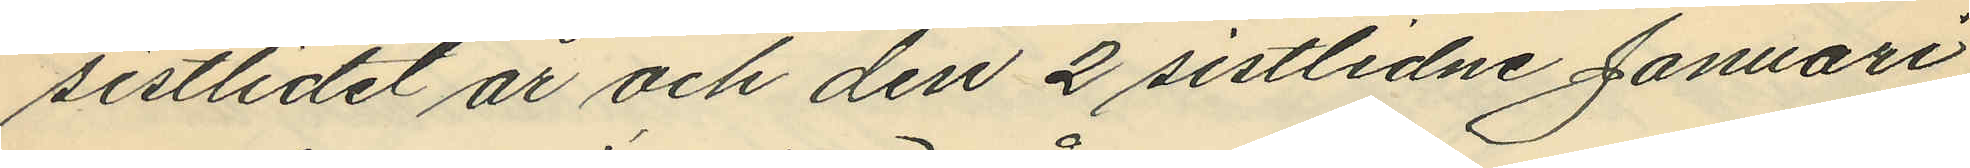sistlidet år och den 2 sistlidne Januari
